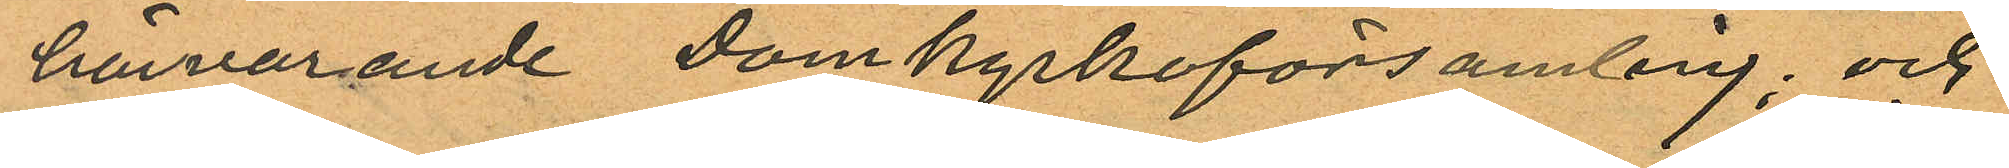härvarande Domkyrkoförsamling; och
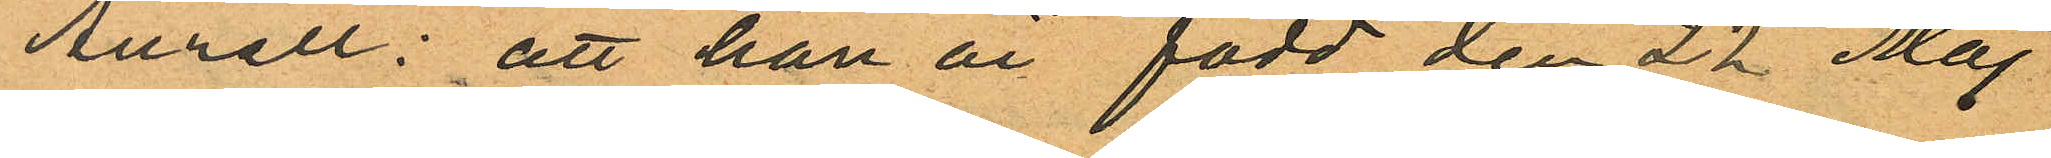Aurell: att han är född den 22 Maj
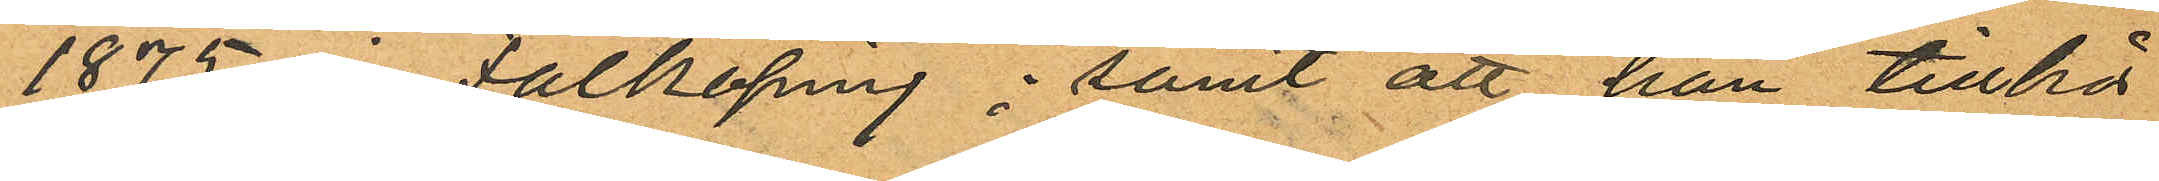1875 i Falköping; samt att han tillhör
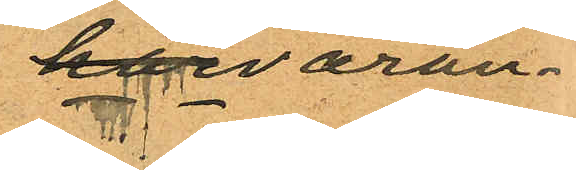härvaran¬
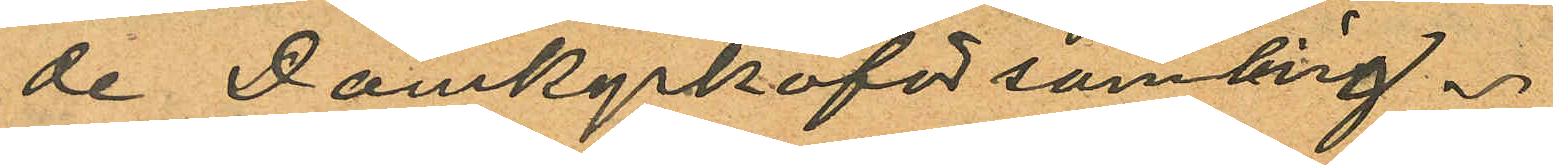de Domkyrkoförsamling.
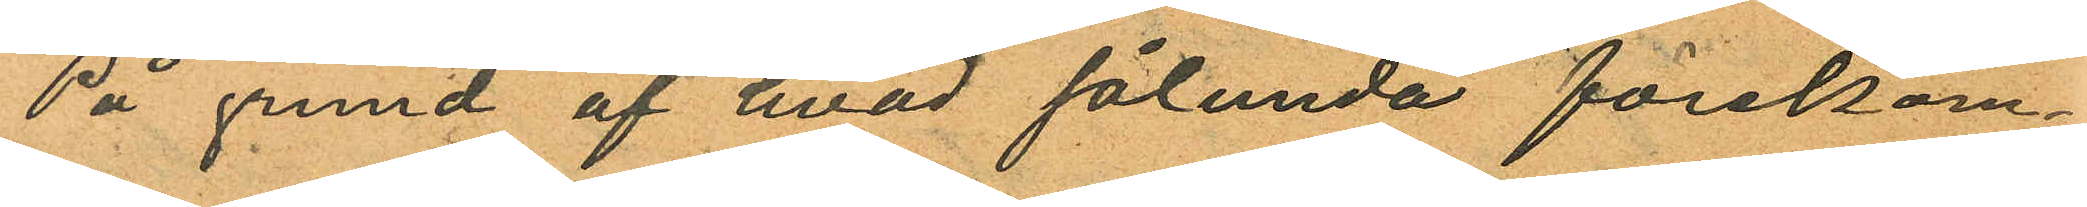På grund af hvad sålunda förekom¬
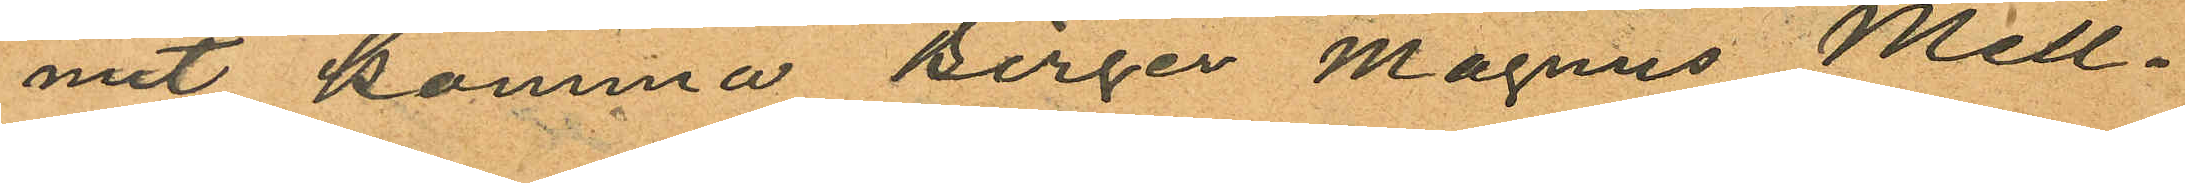mit komma Birger Magnus Mell¬
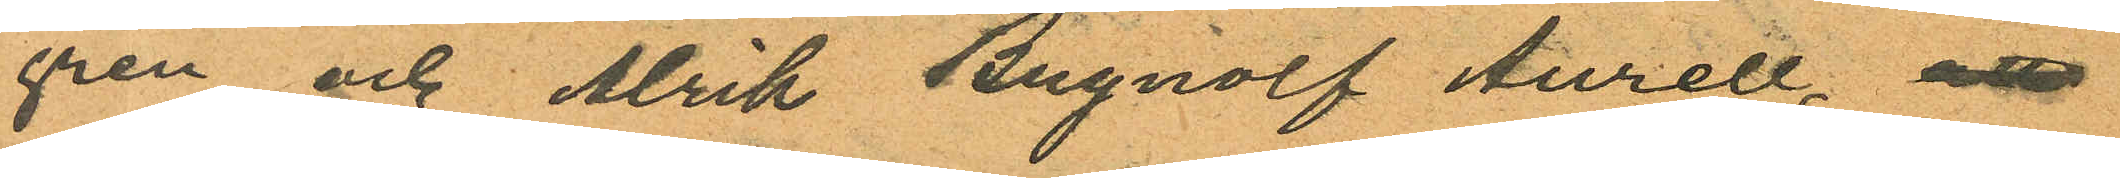gren och Alrik Brynolf Aurell, att
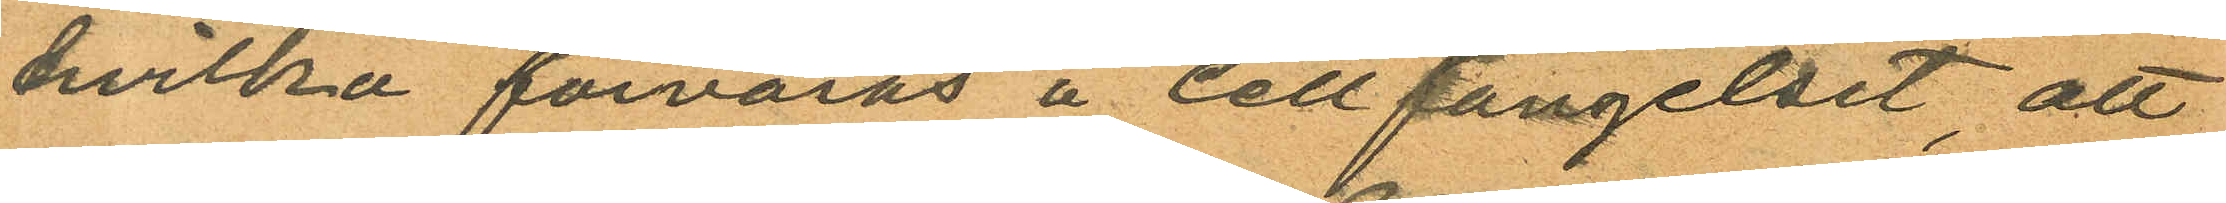hvilka förvaras å Cellfängelset, att
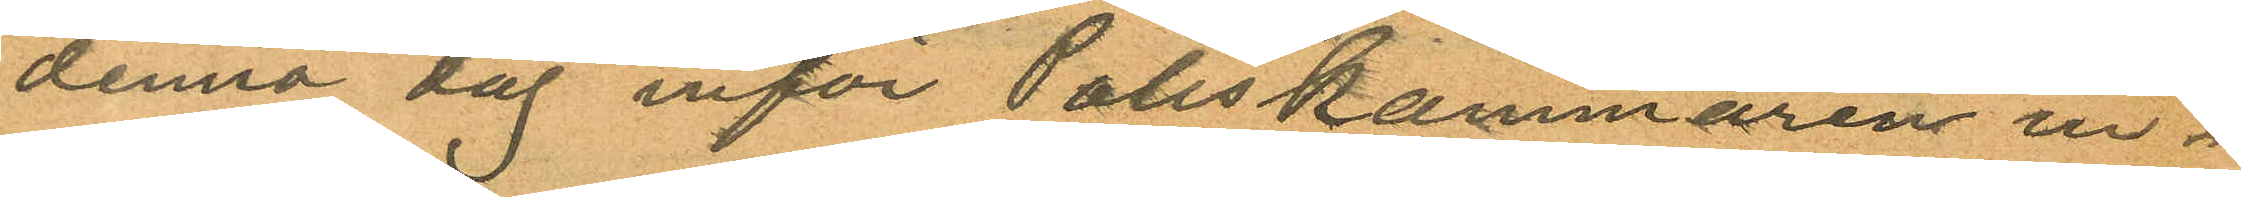denna dag inför Poliskammaren in¬
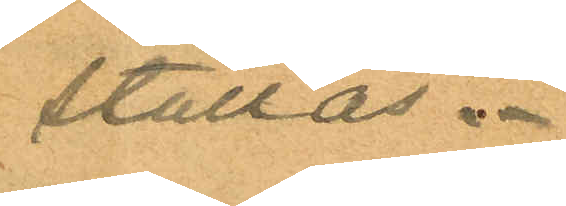ställas.
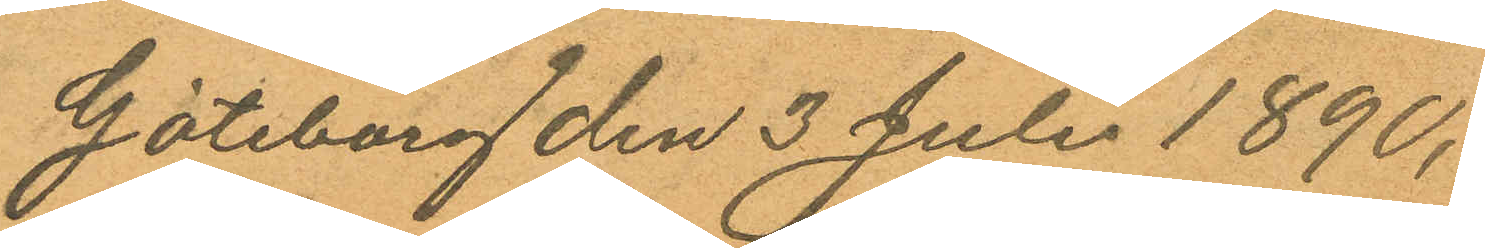Göteborg den 3 Juli 1890.
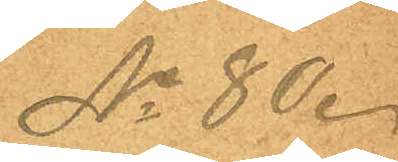No 80.
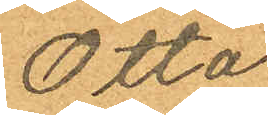Otto
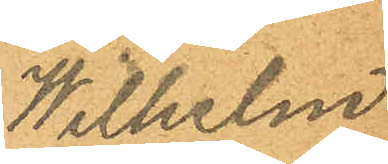Wilhelm
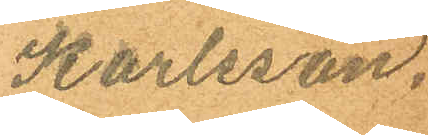Karlsson.
